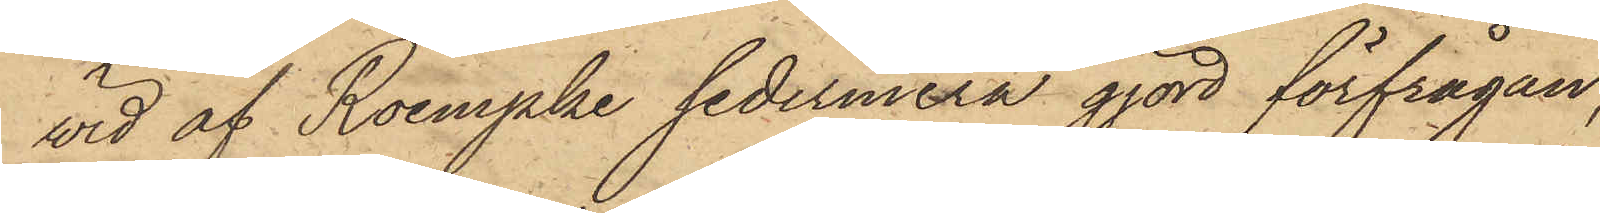wid af Roempke sedermera gjord förfrågan,
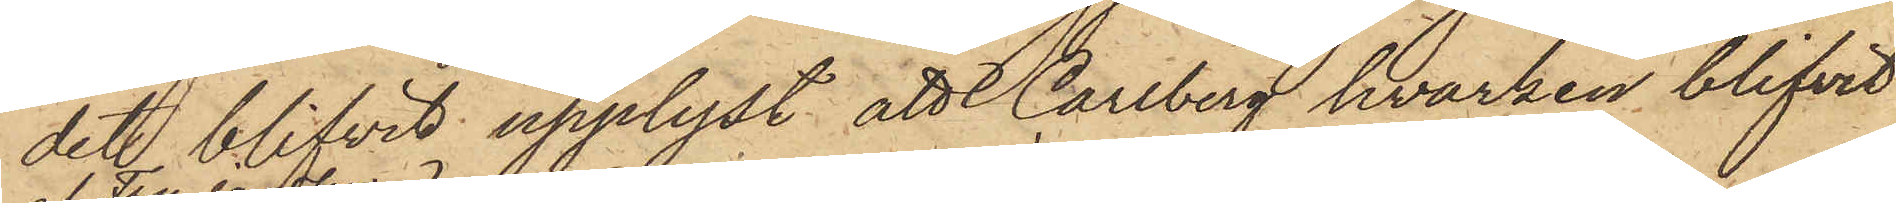det blifvit upplyst, att Carlberg hvarken blifvit
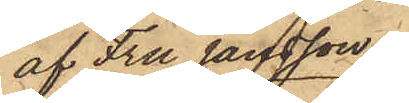af Fru Jansson
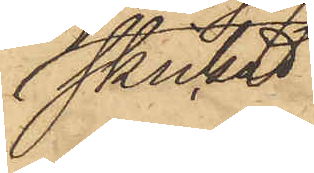skickad
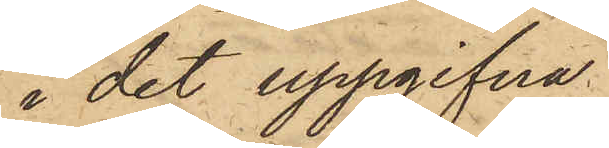i det uppgifna
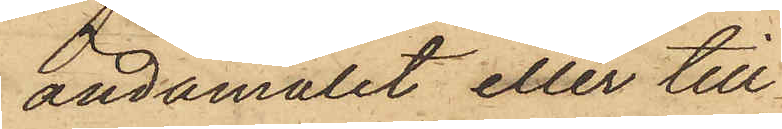ändamålet eller till
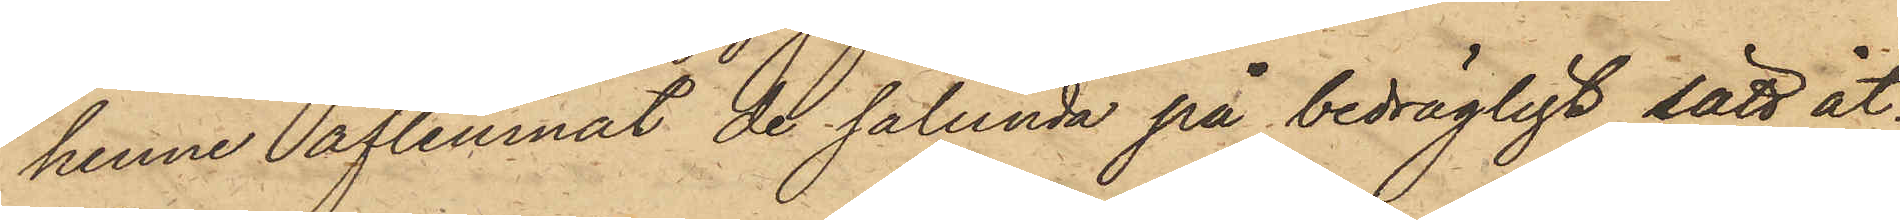henne aflemnat de sålunda på bedrägligt sätt åt¬
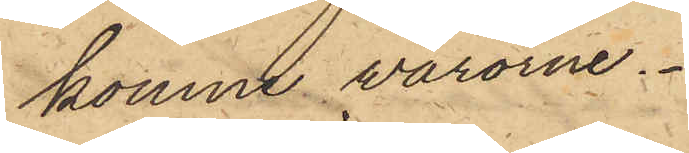komne varorna.
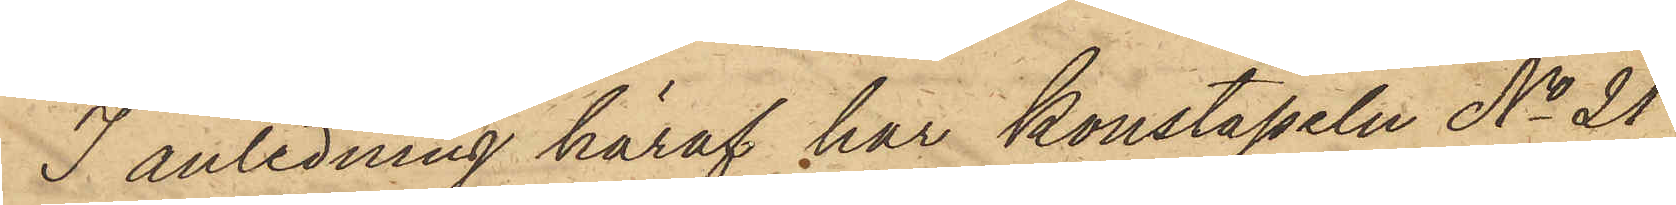I anledning häraf har konstapeln No 21
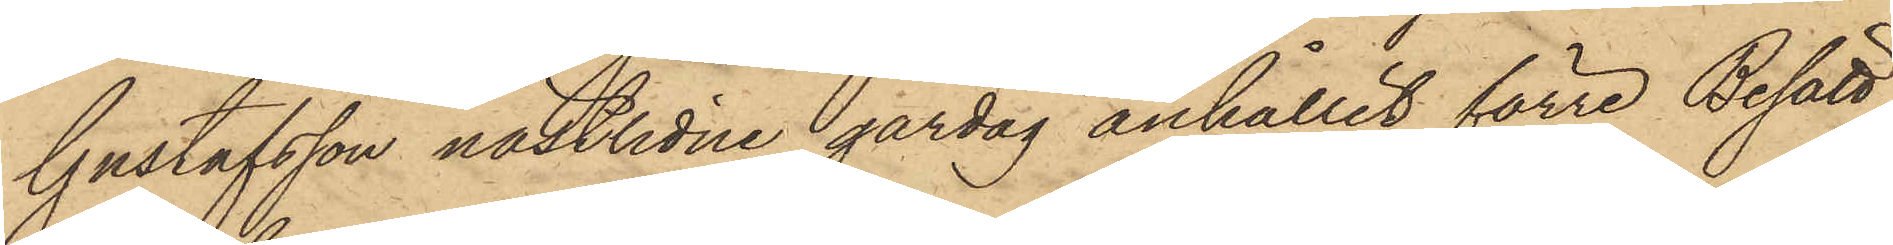Gustafsson nästlidne gårdag anhållit förre Besätt¬
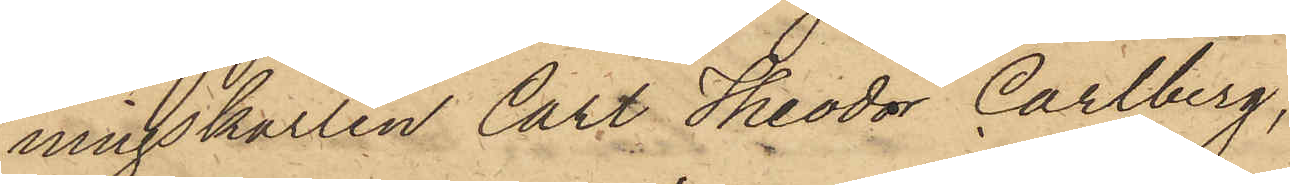ningskarlen Carl Theodor Carlberg,
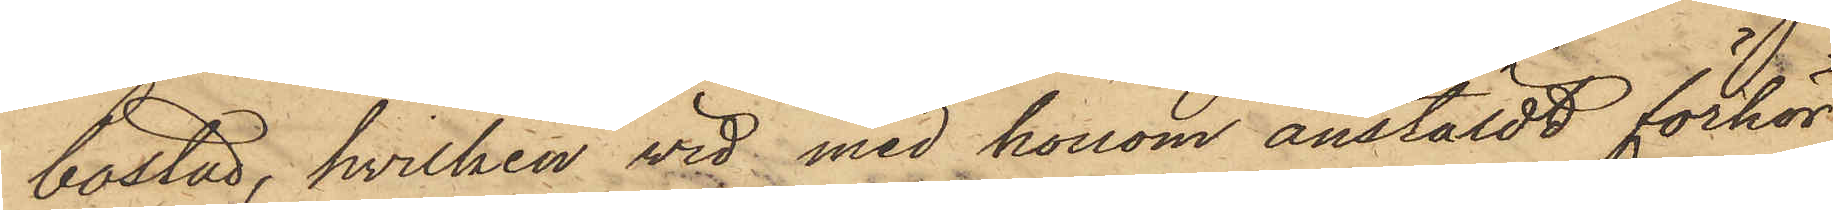bostad, hvilken vid med honom anstäldt förhör
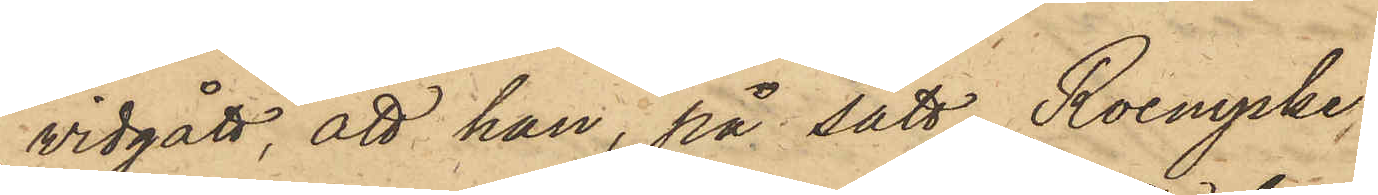vidgått, att han, på sätt Roempke,
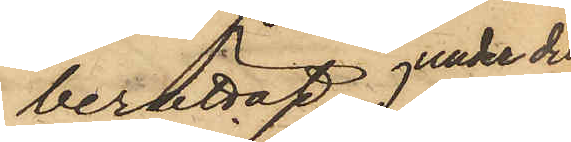berättat under den
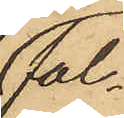fal¬
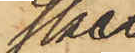ska
